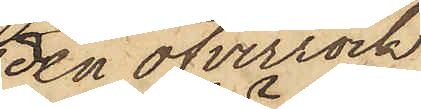den öfverrock
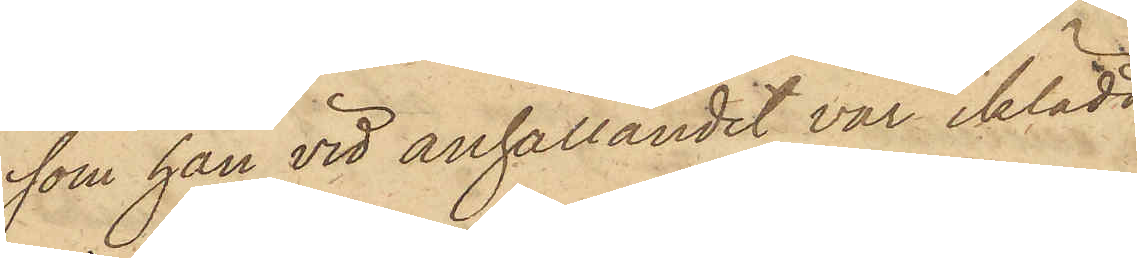som han vid anhållandet var iklädd
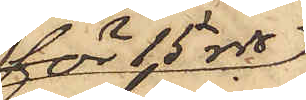för 15 rdr,
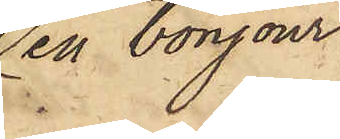en bonjour
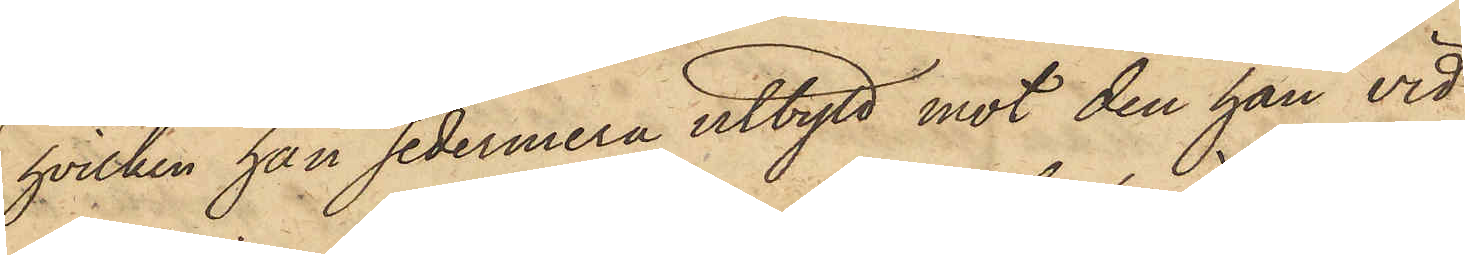hvilken han sedermera utbytt mot den han vid
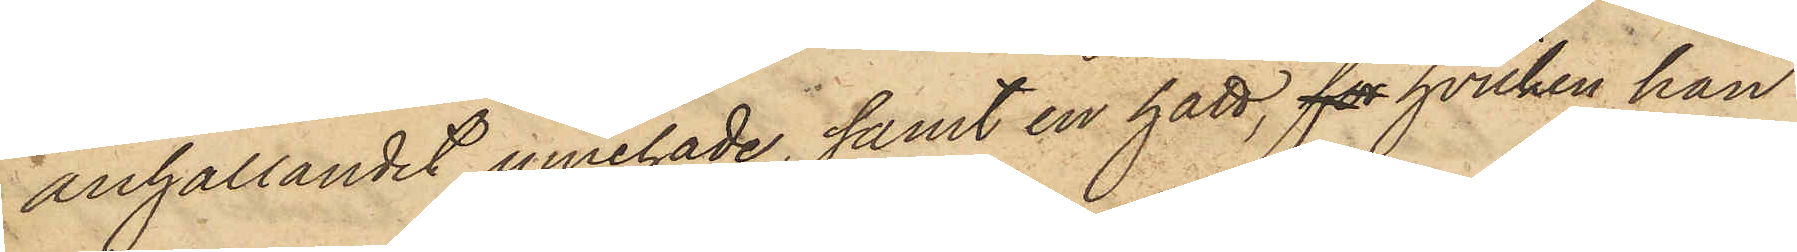anhållandet innehade, samt en hatt, for hvilken han
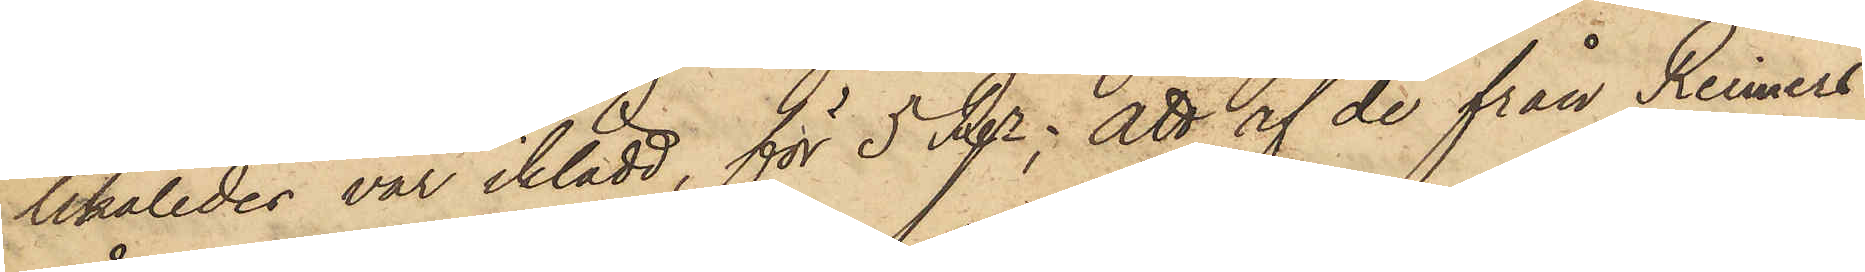likaledes var iklädd, för 5 Rgr; att af de från Reimers
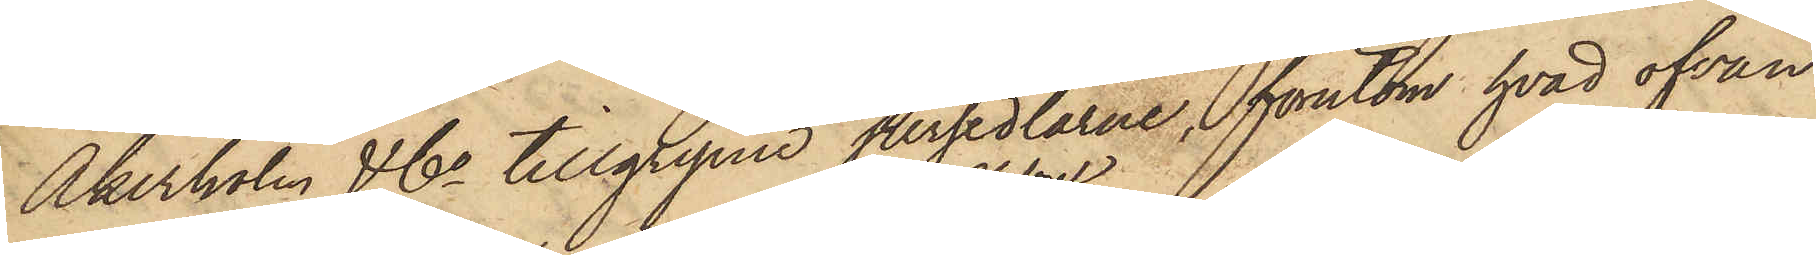Åkerholm & Co tillgripne persedlarne, förutom hvad ofvan
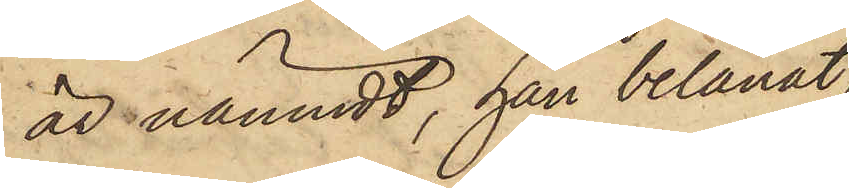är nämndt, han belånat
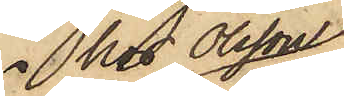hos Olsson
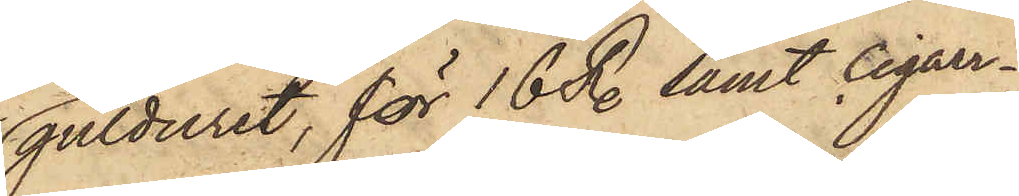gulduret, för 16 R. samt Cigarr¬
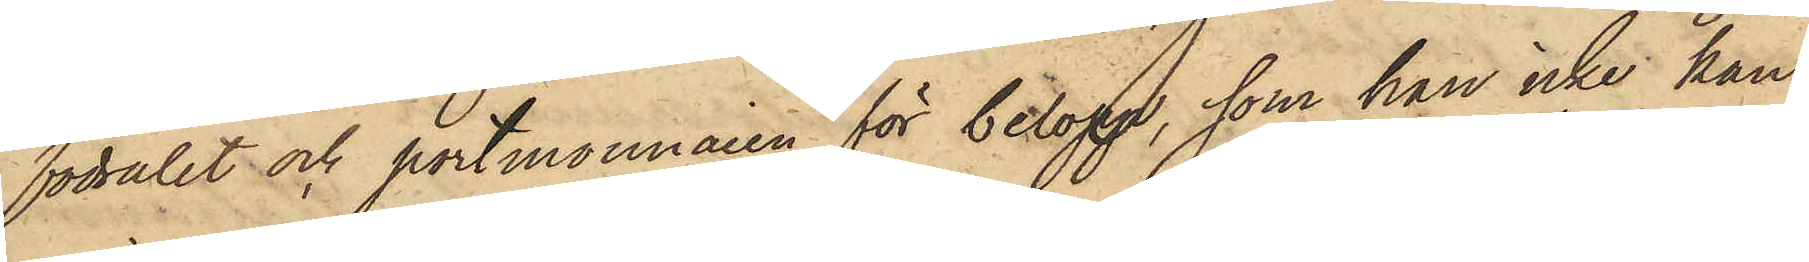fodralet och portmonnaien för belopp, som han icke kan
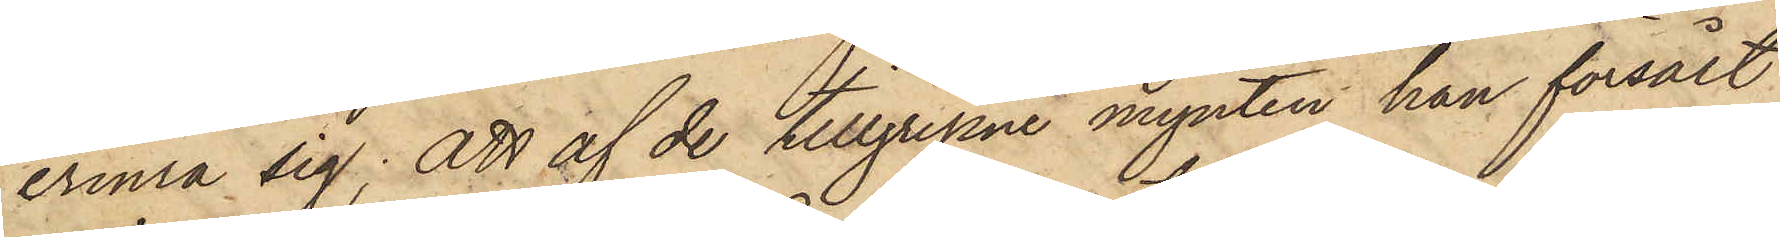erinra sig; att af de tillgripne mynten han försålt
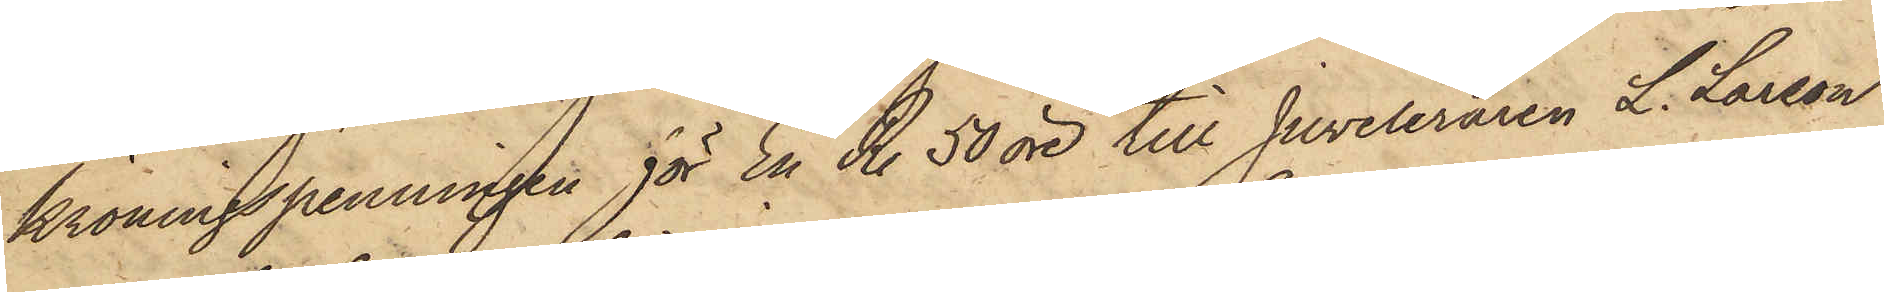kröningepenningen för En R. 50 öre till Juveleraren L. Larson
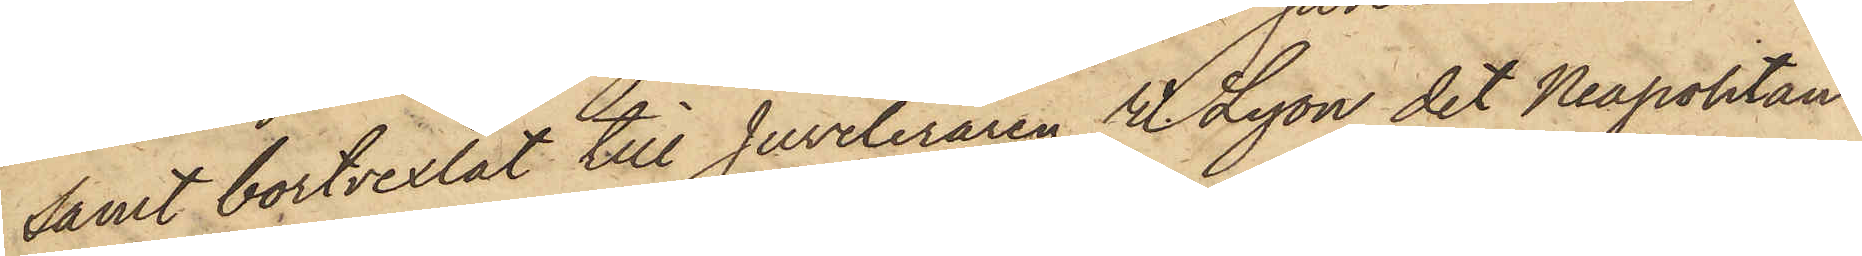samt bortvexlat till Juveleraren W. Lyon det Kapohtan¬
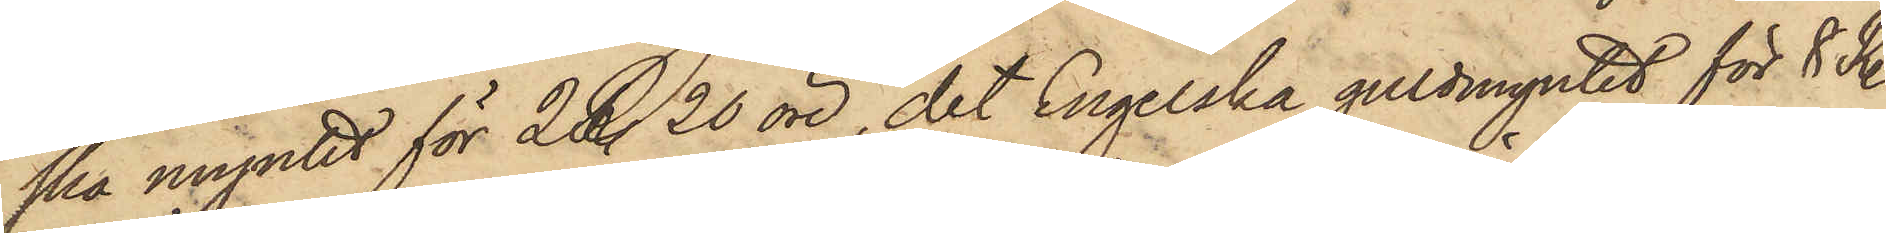ska numtet för 2 R. 20 öre, det Engelska guldmyntet för 8 R.
